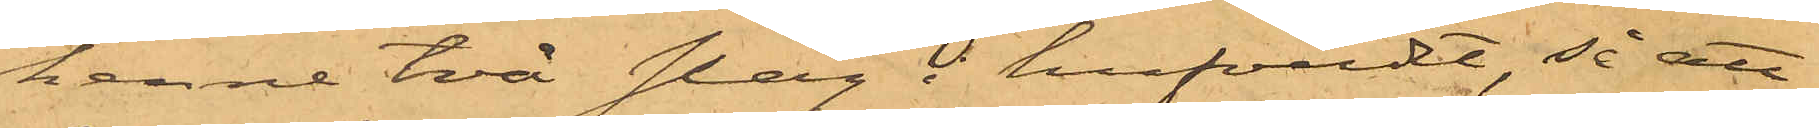henne två slag i hufvudt, så att
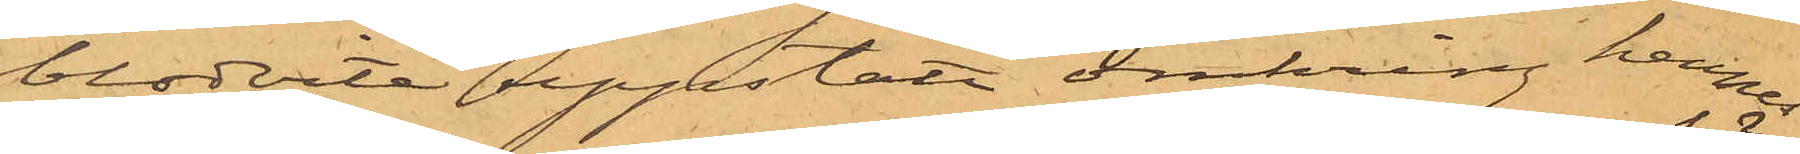blodvite uppstått omkring hennes
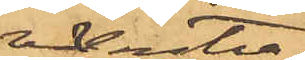venstra
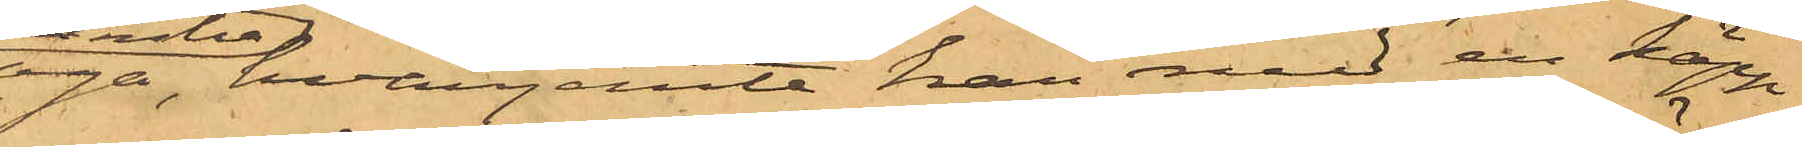öga, hvarjemte han med en käpp
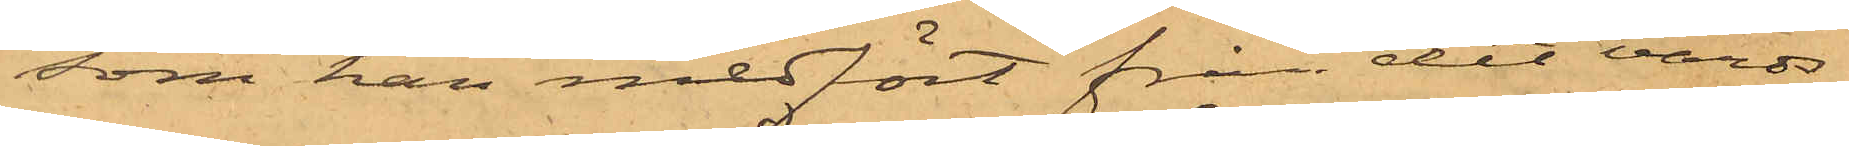som han medfört från det värds¬
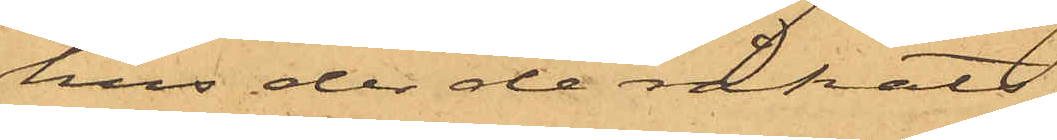hus der de råkats
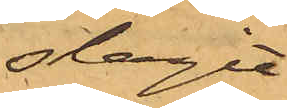slagit
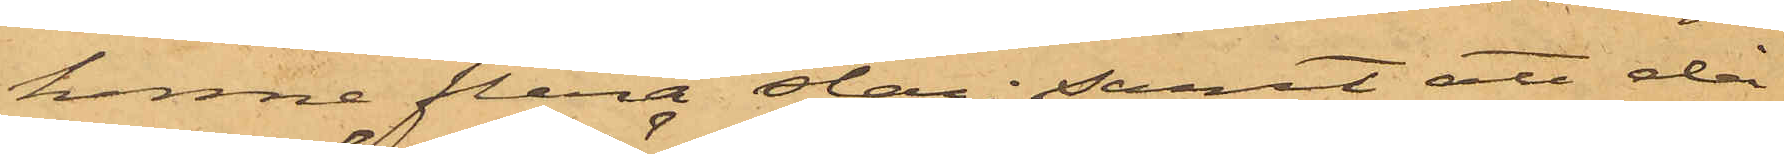henne flera slag; samt att då
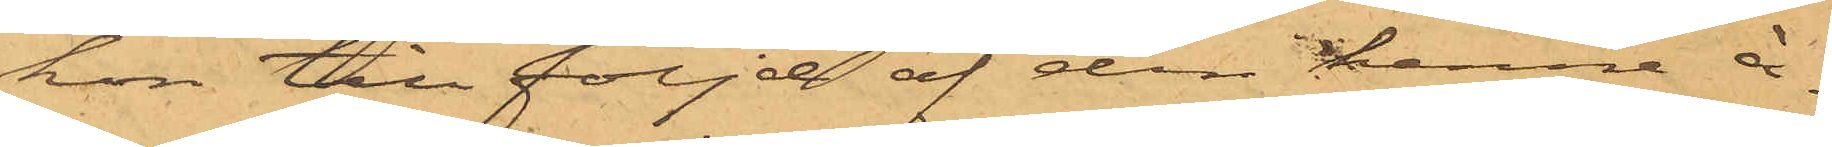hon till följd af den henne å¬
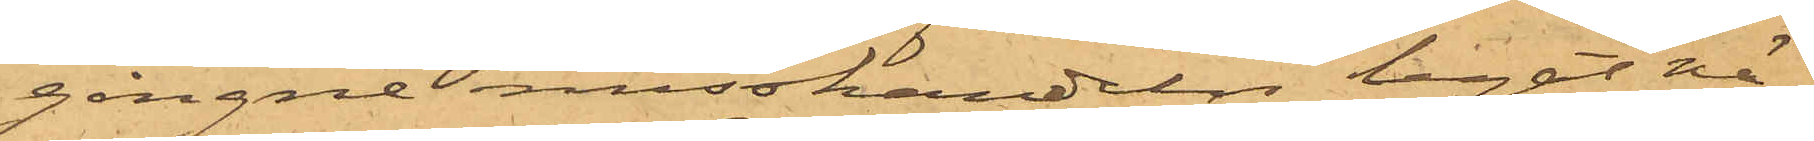gångne misshandeln legat nä¬
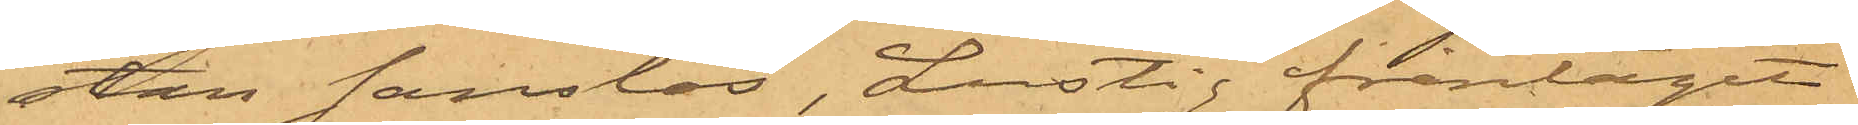stan sanslös, Lustig fråntagit
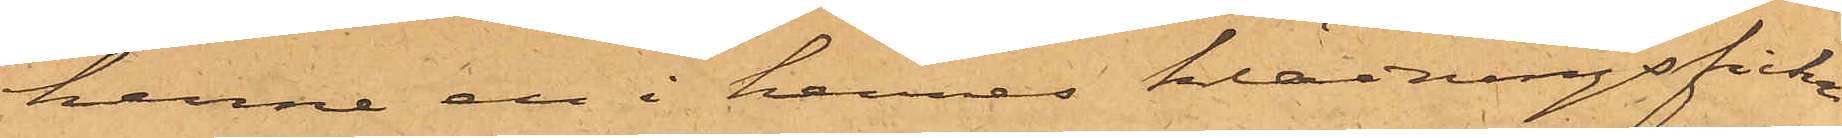henne en i hennes klädningsficka
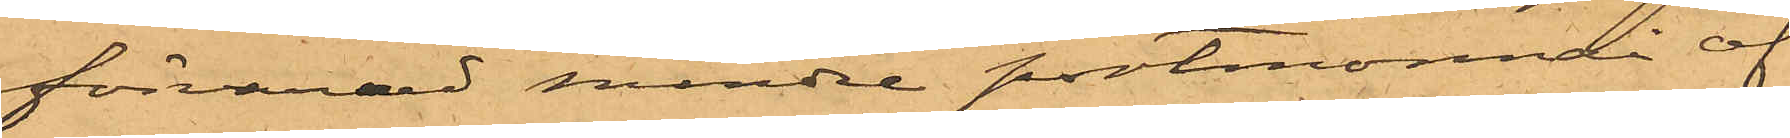förvarad mindre portmonnai af
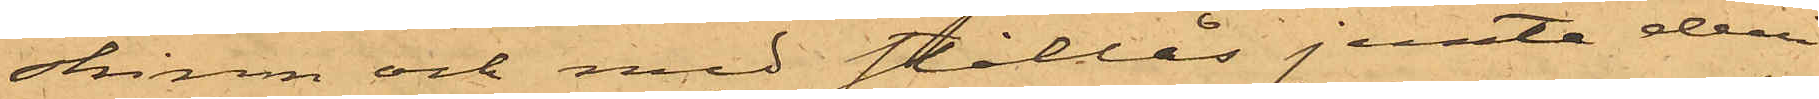skinn och med stållås jemte deri
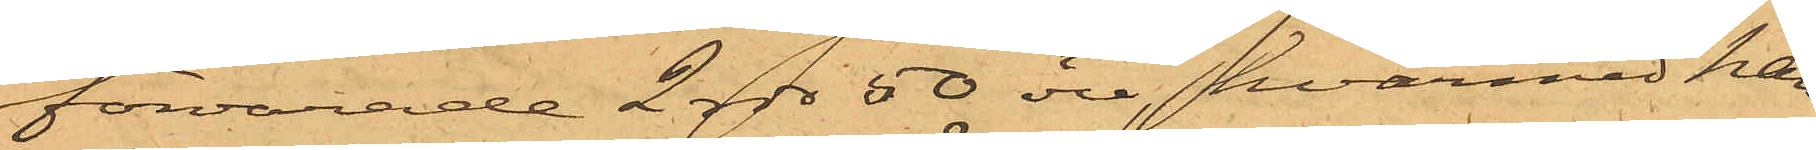förvarade 2 rdr 50 öre, hvarmed han
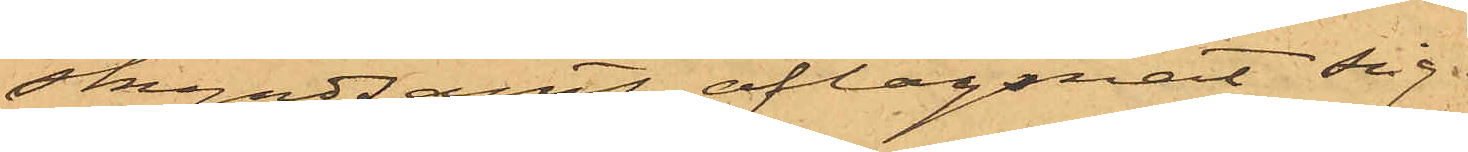skyndsamt aflägsnat sig.
